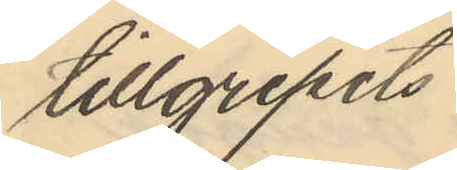tillgripits
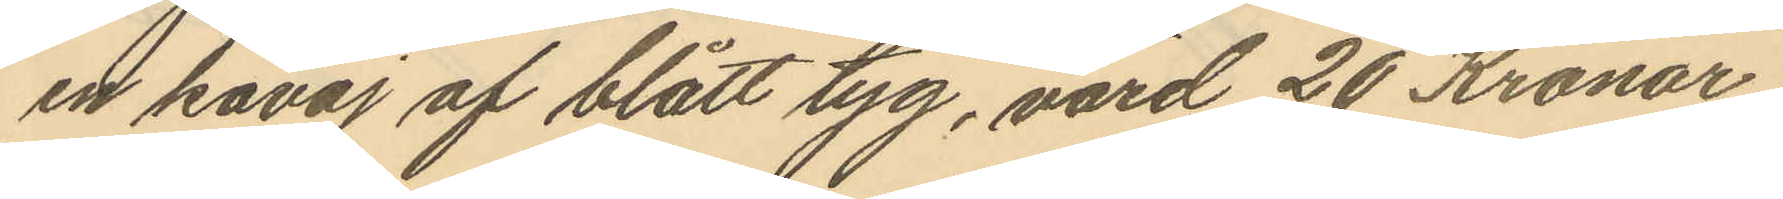en kavaj af blått tyg, värd 20 Kronor
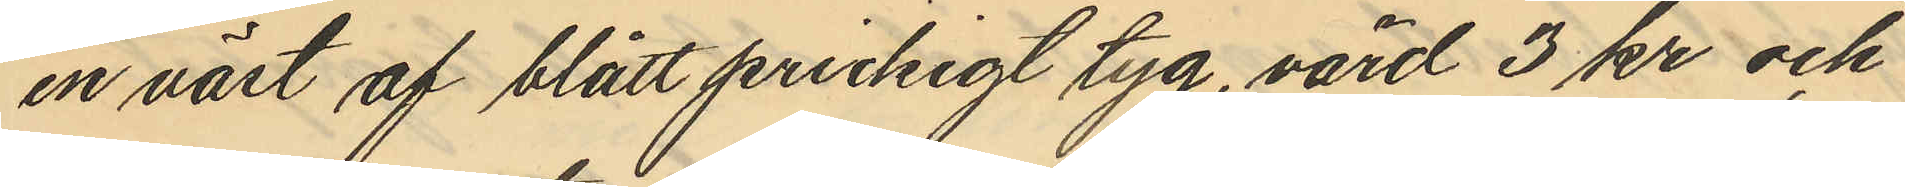en väst af blått prickigt tyg, värd 3 kr och
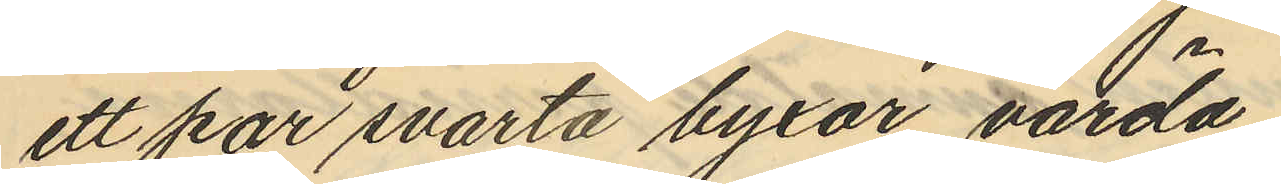ett par svarta tyxor, värda
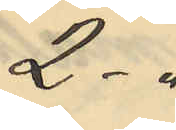2-"
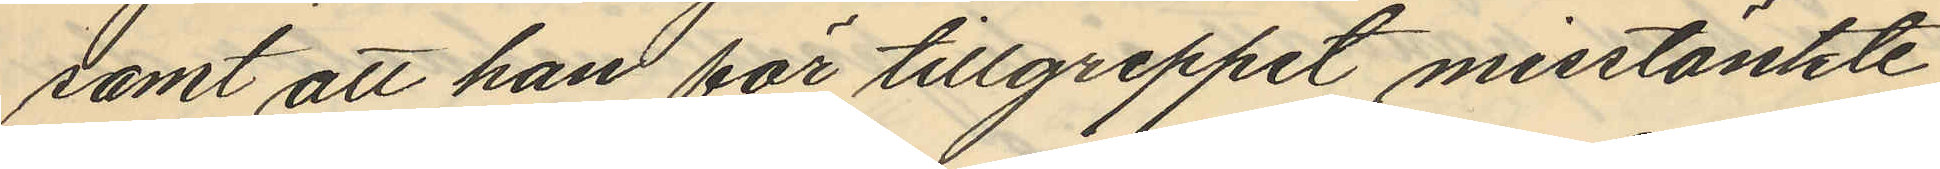samt att han för tillgreppet misstänkte
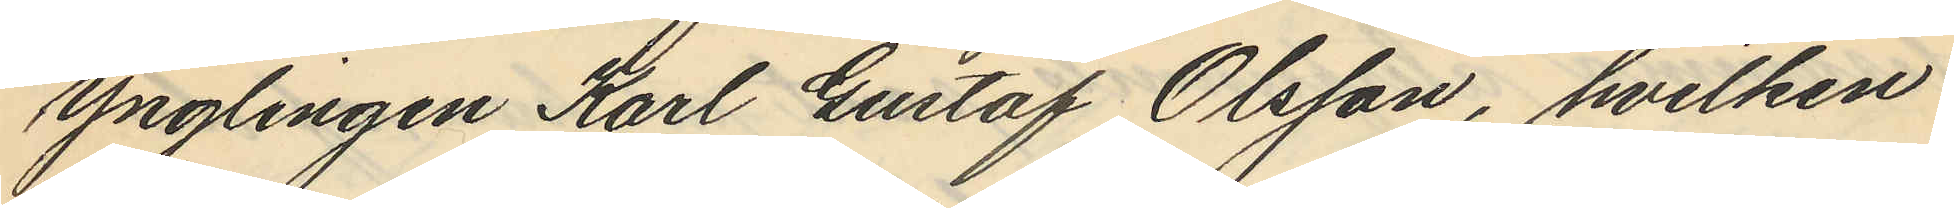ynglingen Karl Gustaf Olsson, hvilken
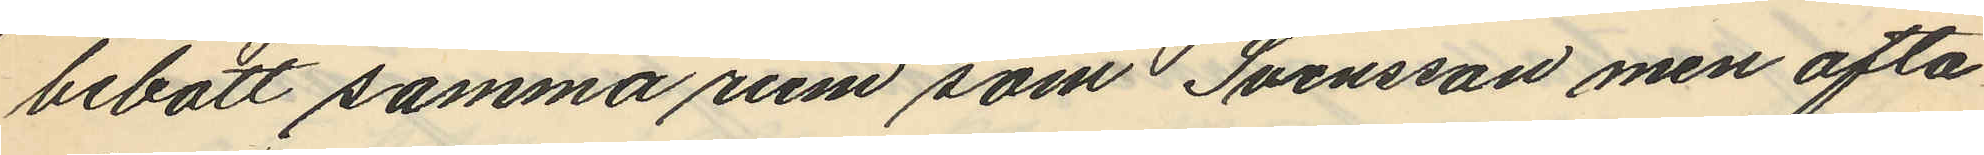bebott samma rum som Svensson men ofta
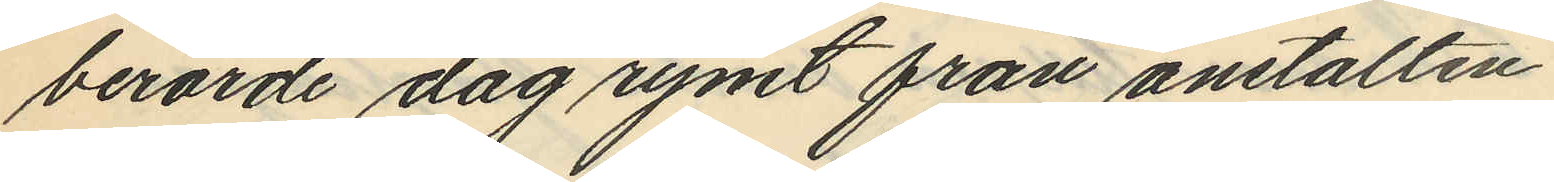berörde dag rymt från anstalten.
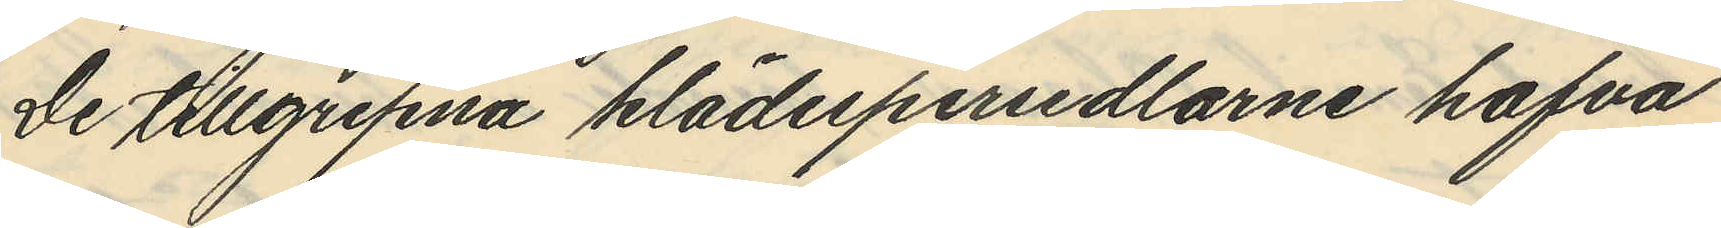De tillgripna klädespersedlarne hafva
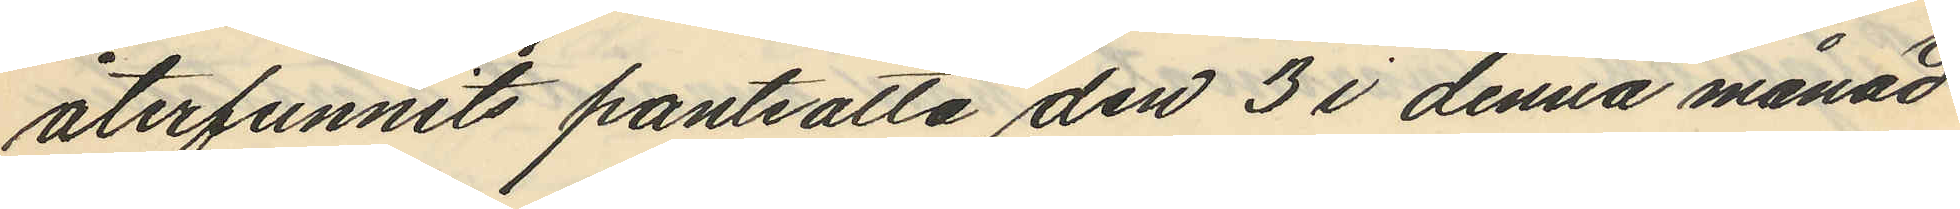återfunnits pantsatta den 3 i denna månad
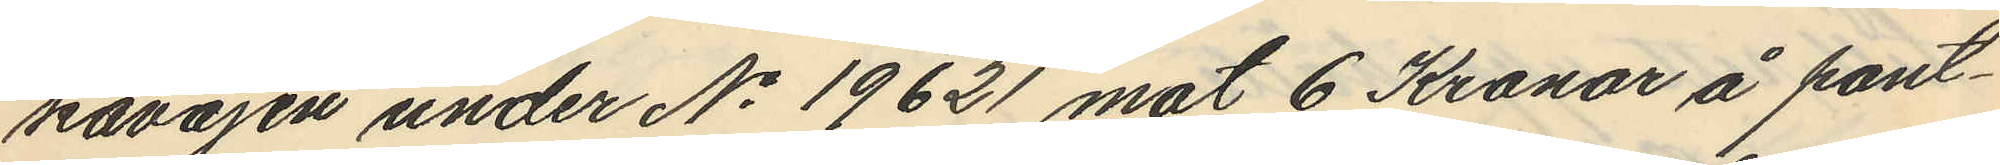kavajen under No 19621 mot 6 Kronor å pant¬
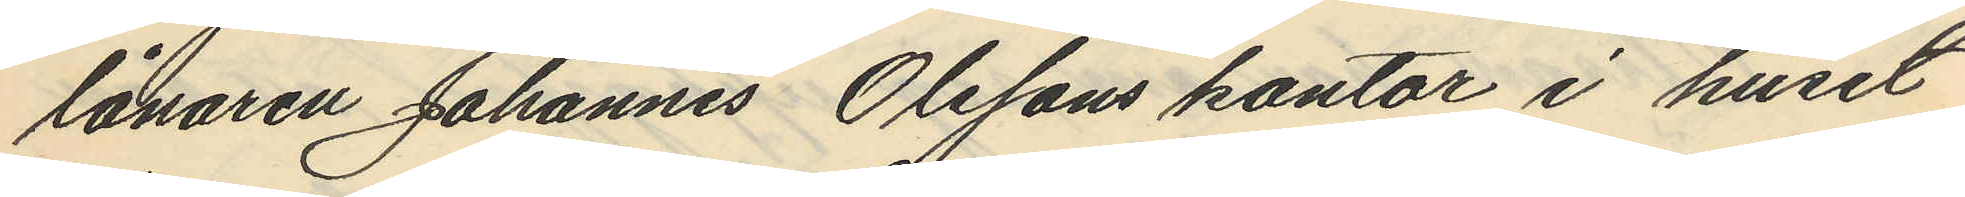lånaren Johannes Olssons kontor i huset
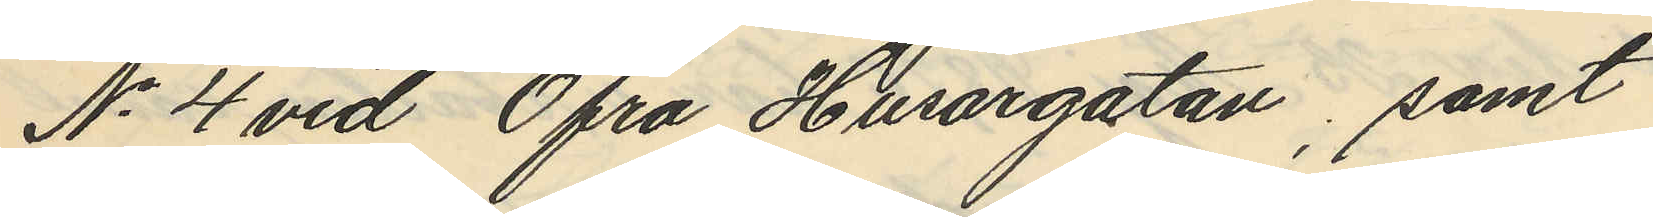No 4 vid Öfra Husargatan, samt
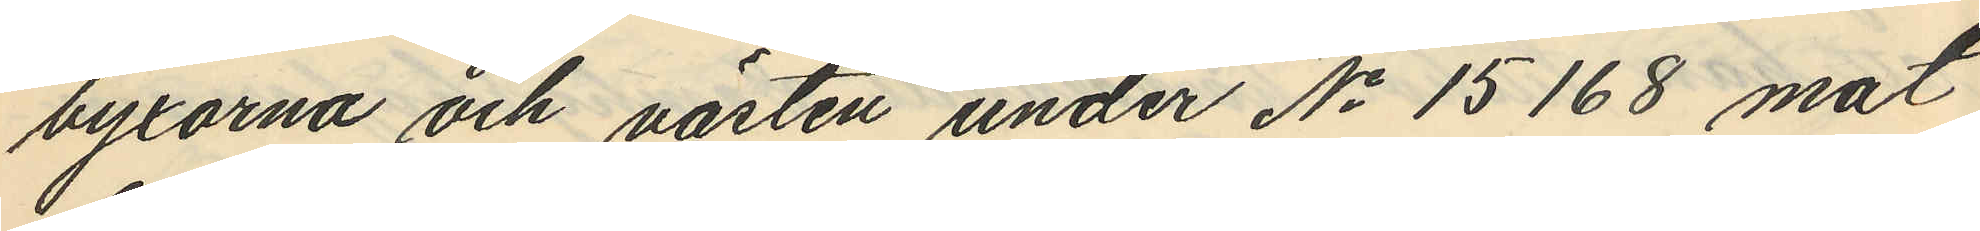byxorna och västen under No 15168 mot
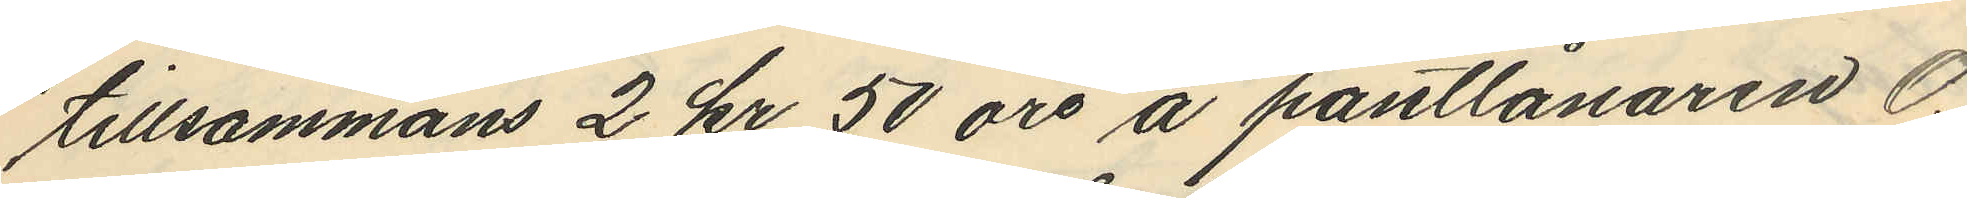tillsammans 2 kr 50 öre å pantlånaren O.
